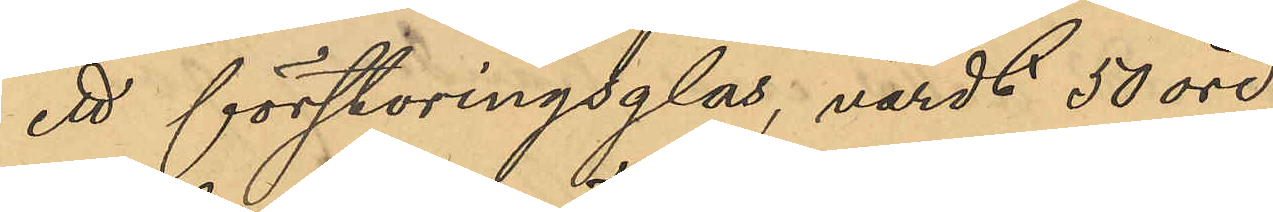ett förstoringsglas, värdt 50 öre.
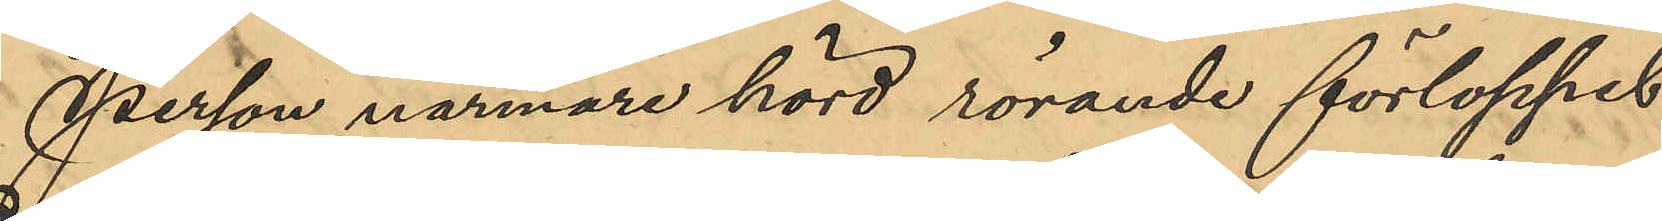Person närmare hörd rörande förloppet
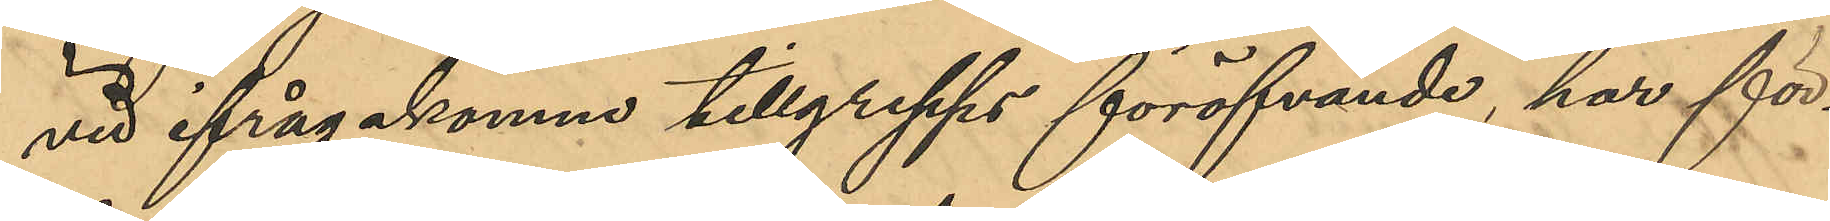vid ifrågakomne tillgrepps föröfvande har för¬
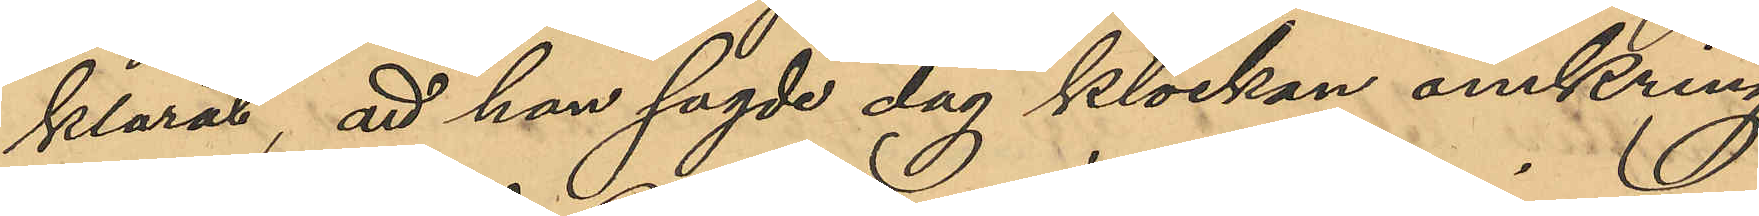klarat, att han sagde dag klockan omkring
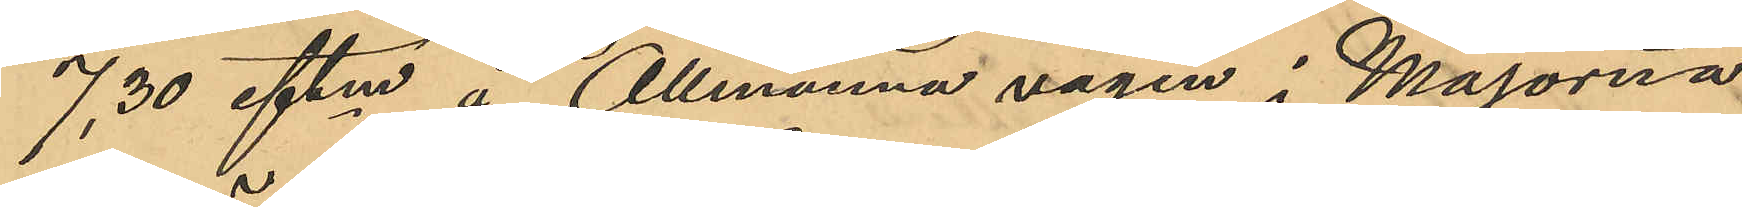7,30 eftm å Allmänna vägen i Majorna
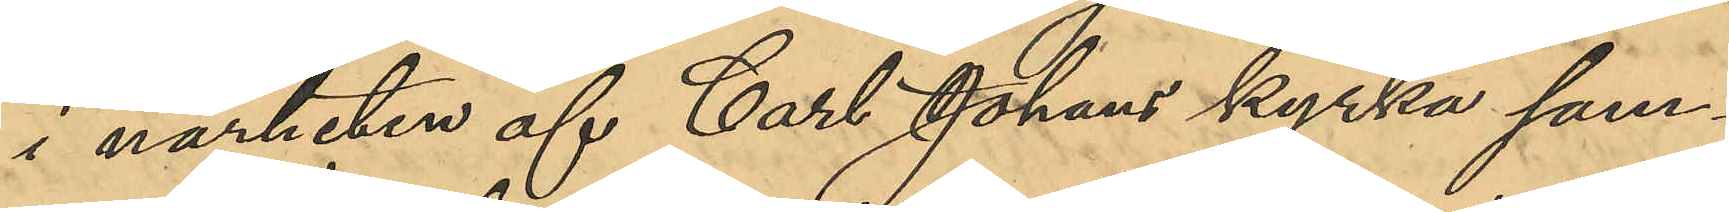i närheten af Carl Johans kyrka sam¬
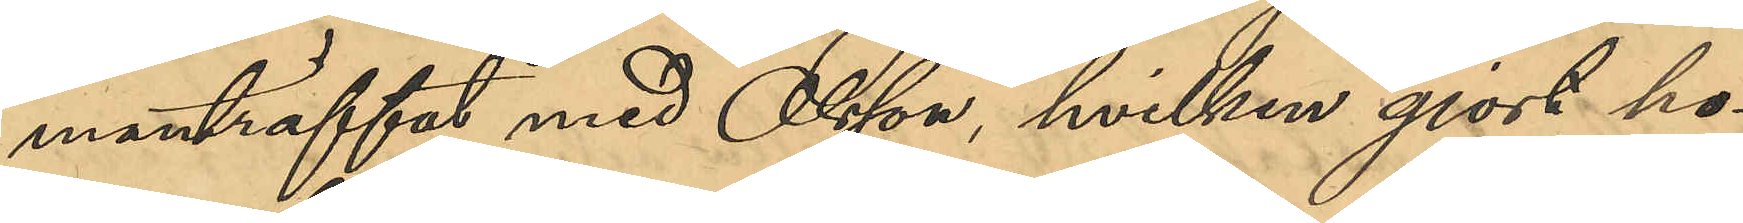manträffat med Olsson, hvilken gjort ho¬
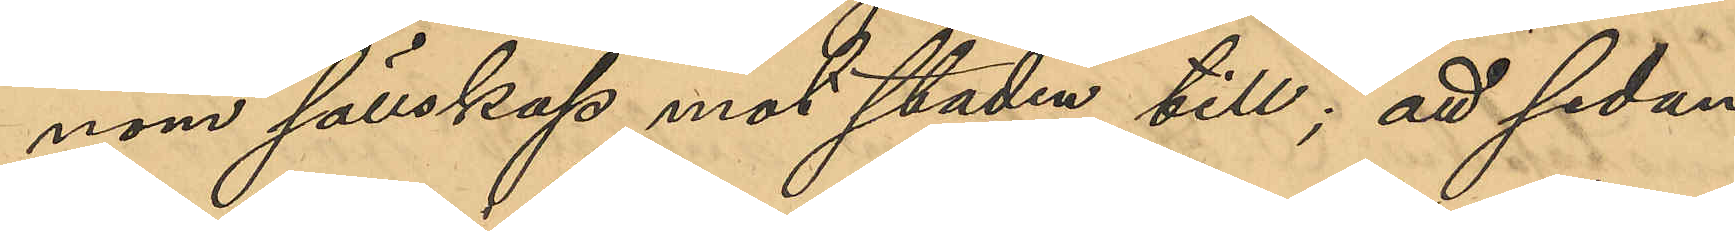nom sällskap mot staden till; att sedan
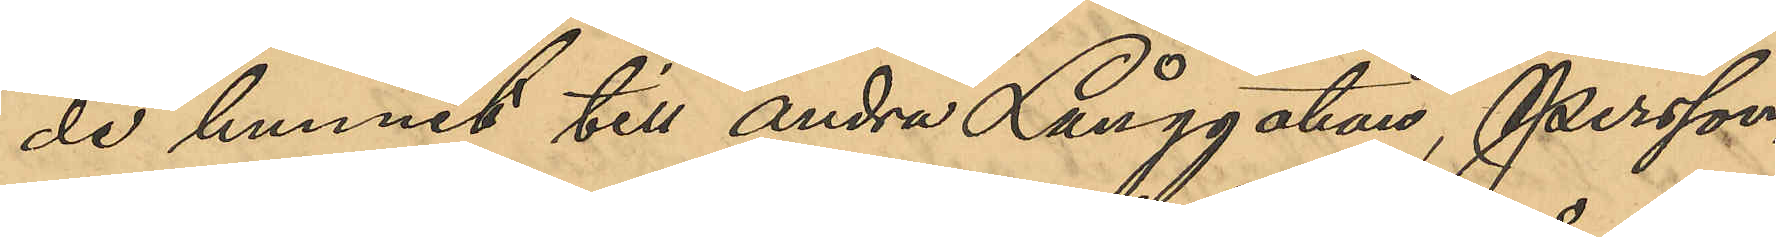de hunnit till Andra Långgatan, Persson,
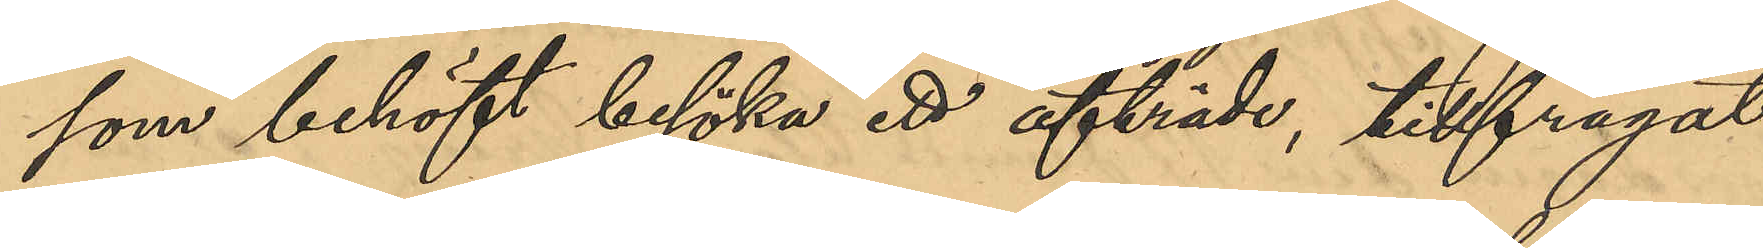som behöft besöka ett afträde, tillfrågat
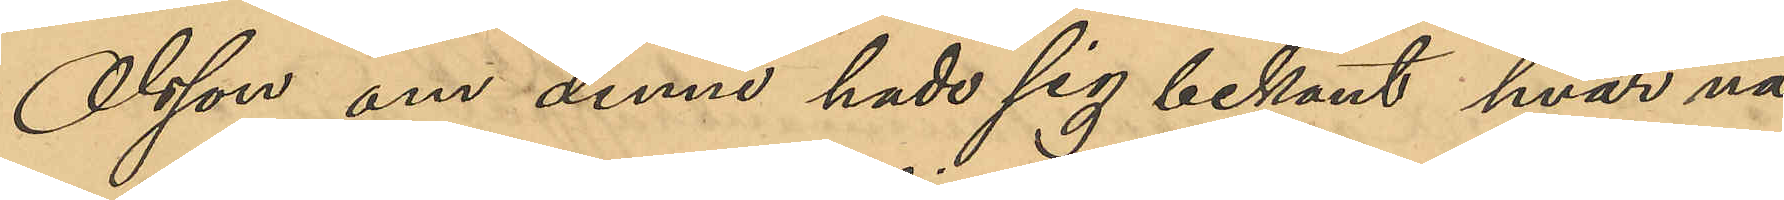Olsson om denne hade sig bekant hvar nå¬
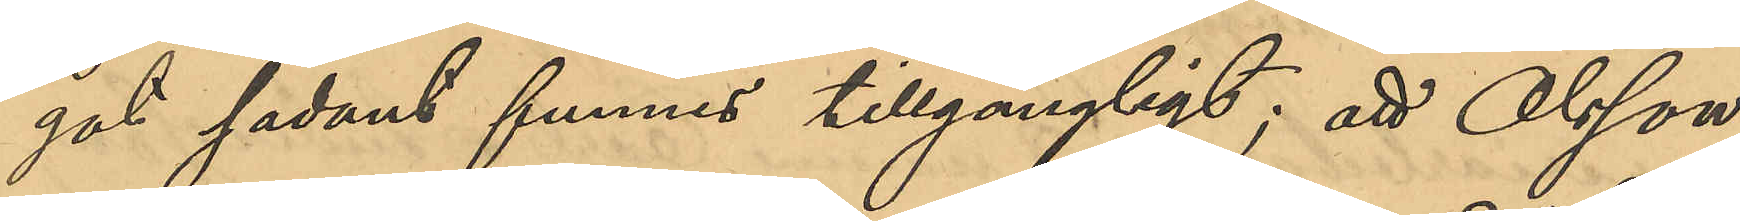got sådant funnes tillgängligt; att Olsson
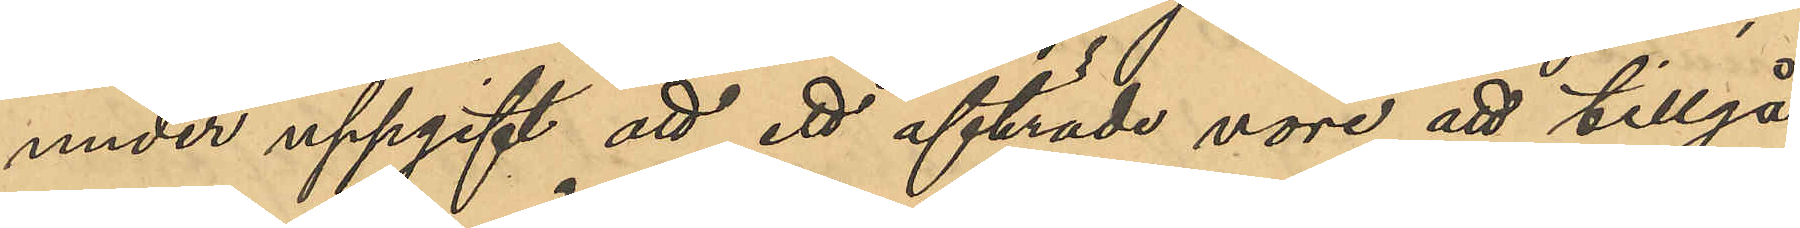under uppgift att ett afträde vore att tillgå
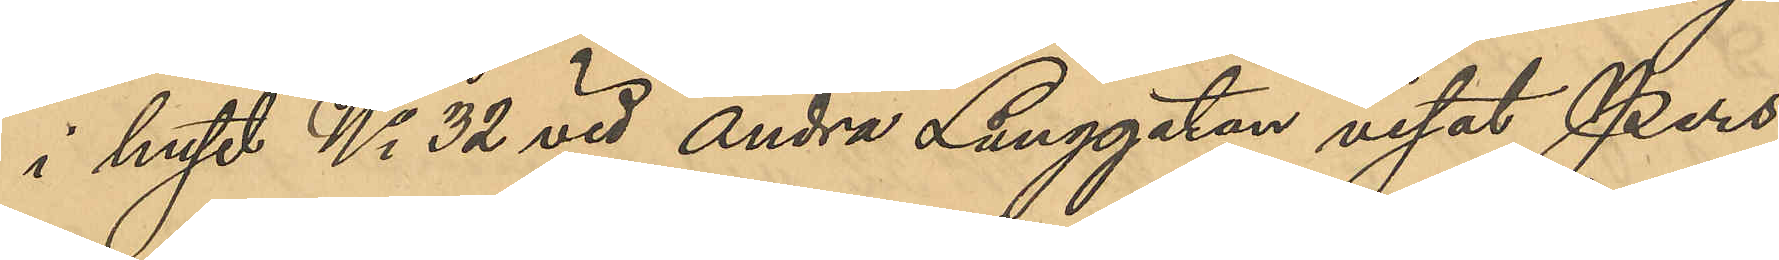i huset No 32 vid Andra Långgatan visat Pers¬
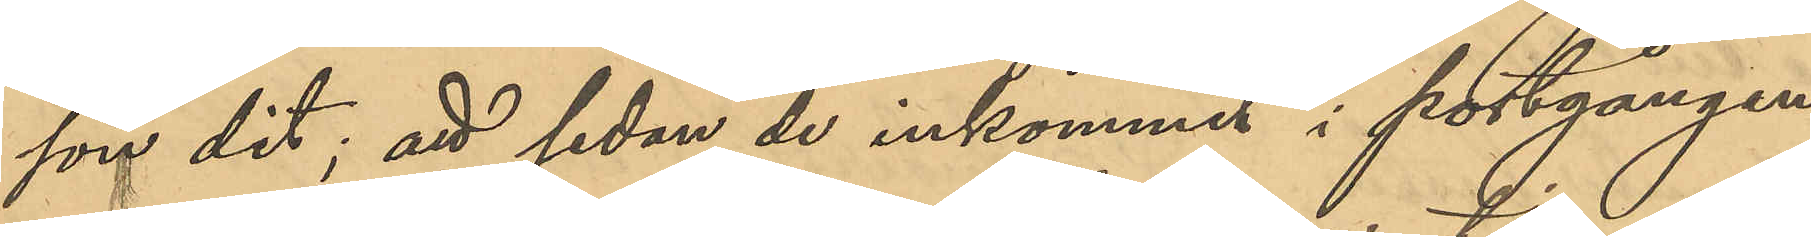son dit; att sedan de inkommit i portgången
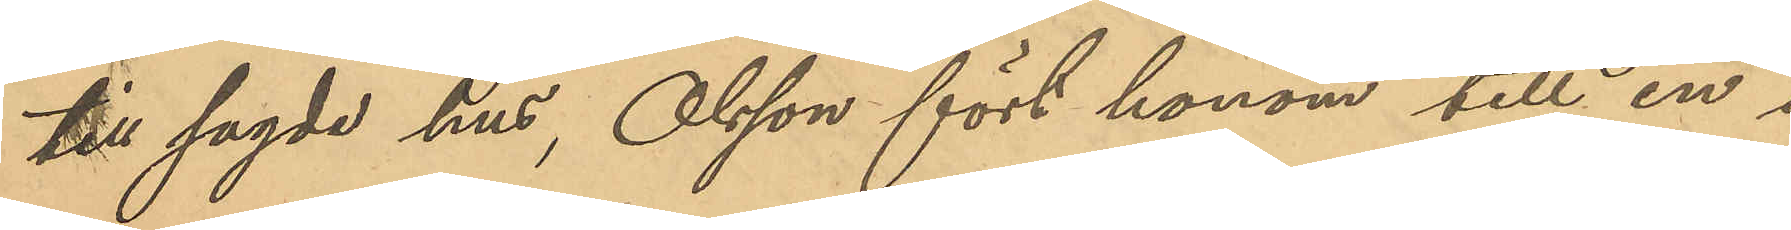till sagde hus, Olsson fört honom till en i
